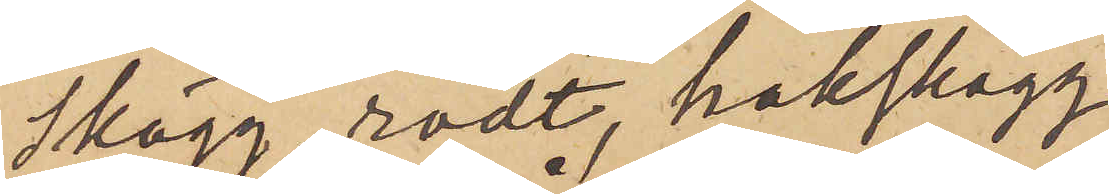skägg rödt, hakskägg,
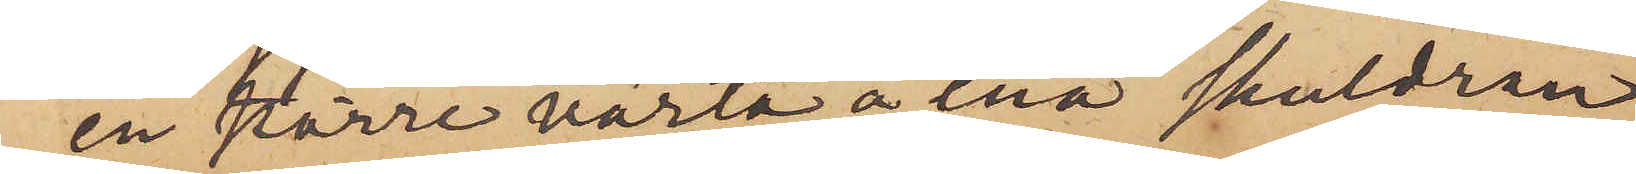en större värta å ena skuldran
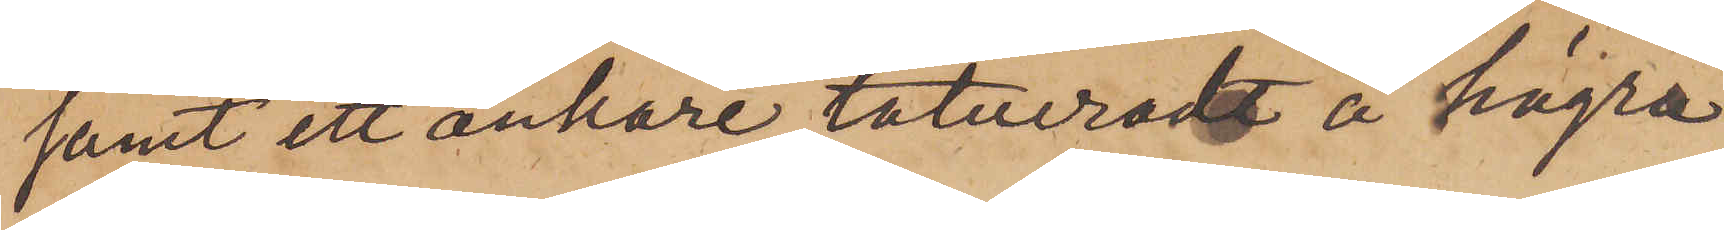samt ett ankare tatueradt å högra
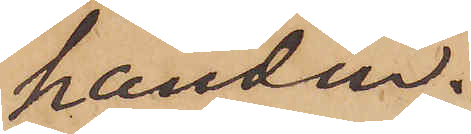handen.
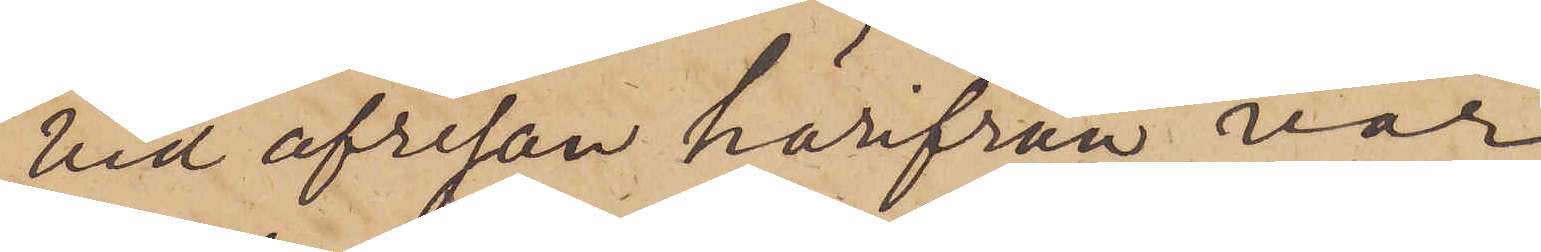Vid afresan härifrån var
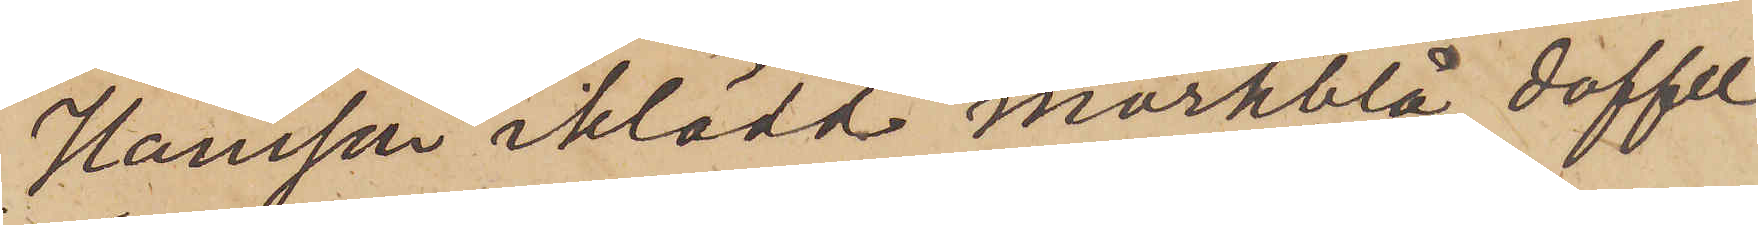Hansson iklädd mörkblå doffel
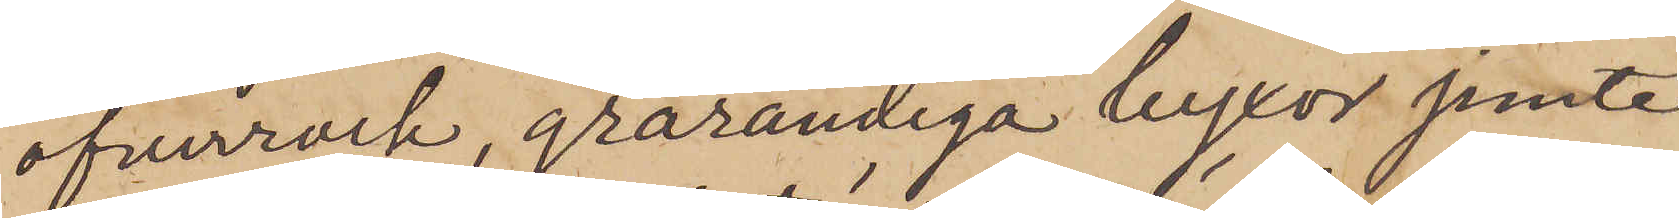öfverrock, grårandiga byxor jemte
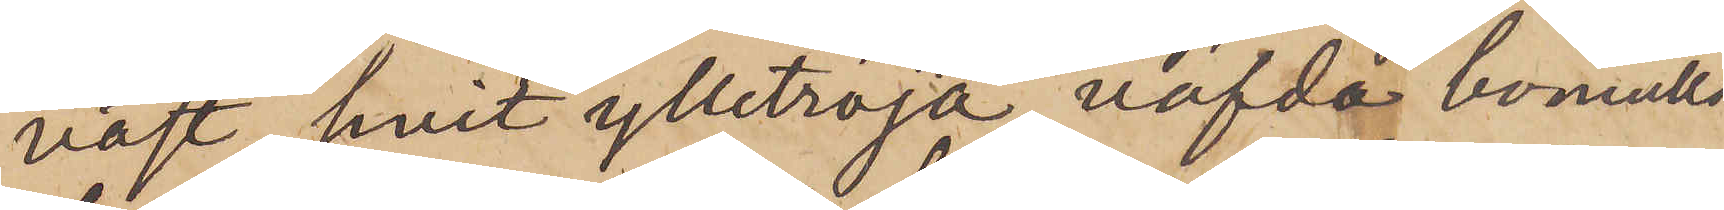väst, hvit ylletröja, väfda bomulls
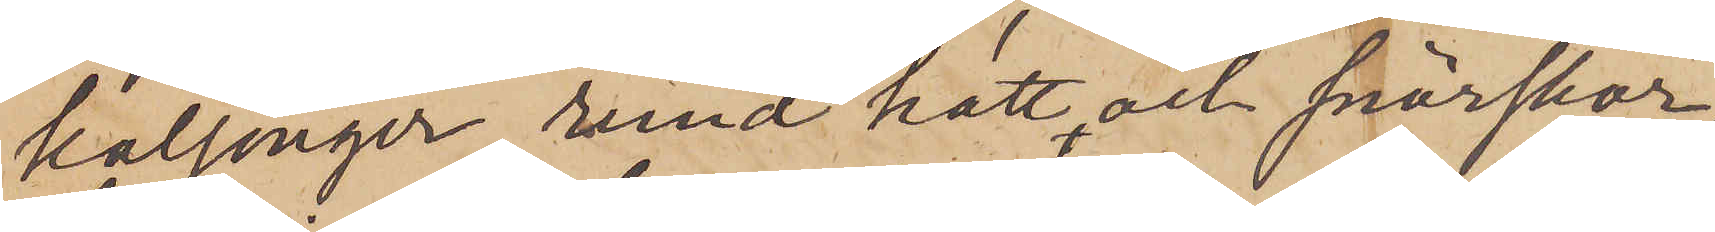kalsonger, rund hatt och snörskor,
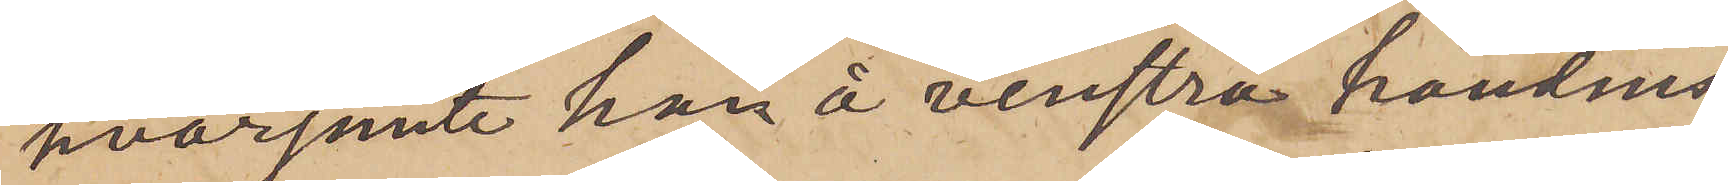hvarjemte han å venstra handens
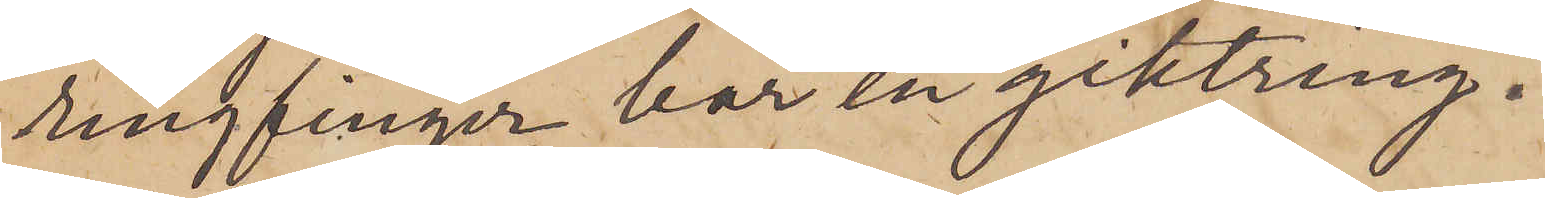ringfinger har en giktring.
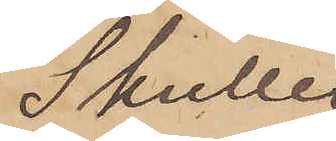Skulle
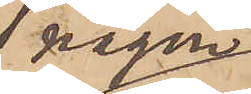någon
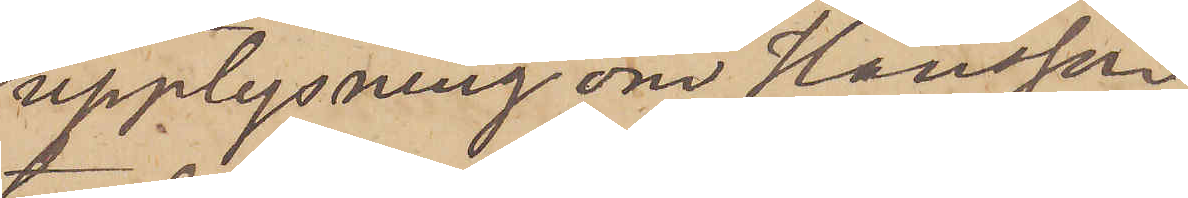upplysning om Hansson
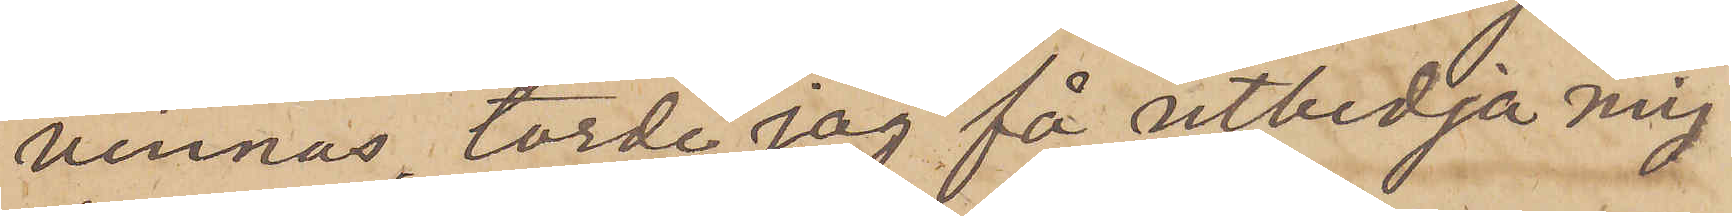vinnas, torde jag få utbedja mig
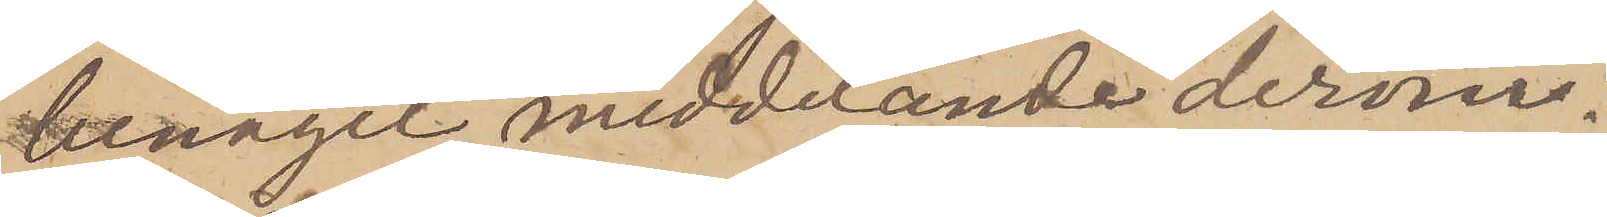benäget meddelande derom.
